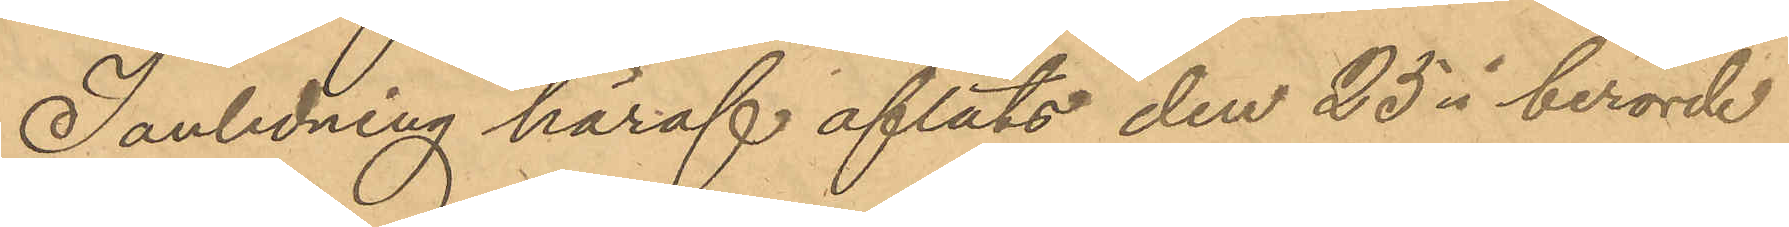I anledning häraf afläts den 25 i berörde
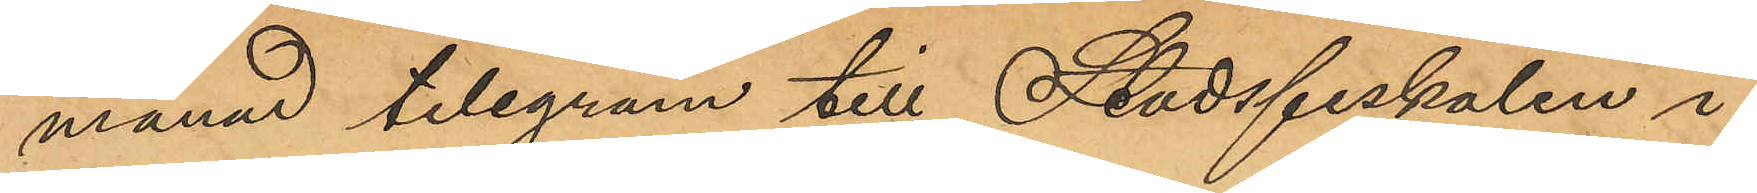månad telegram till Stadsfiskalen i
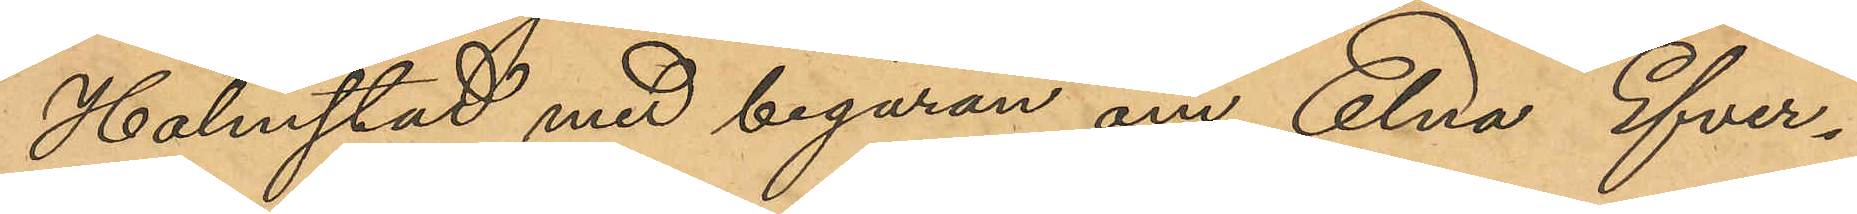Halmstad med begäran om Elna Efver¬
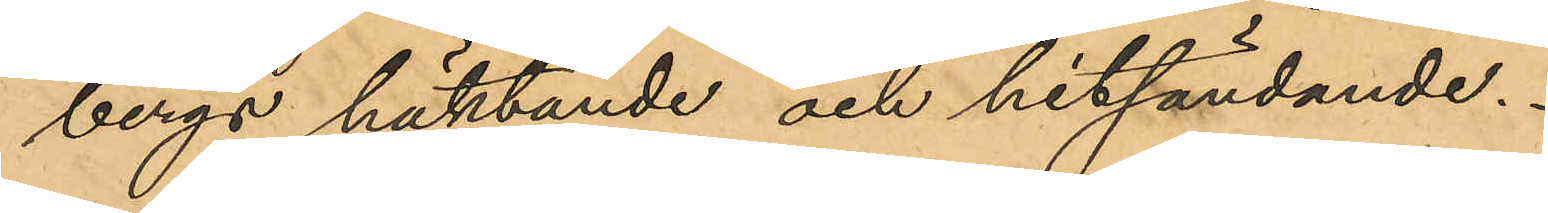bergs häktande och hitsändande.
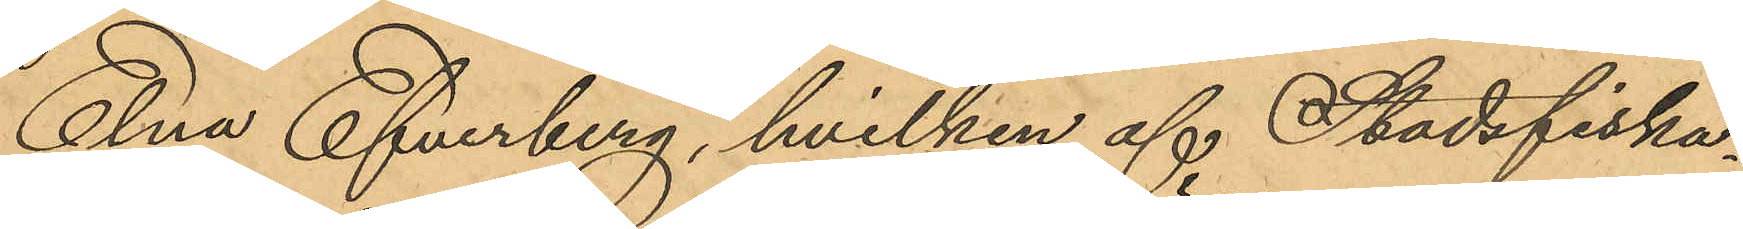Elna Efverberg, hvilken af Stadsfiska¬
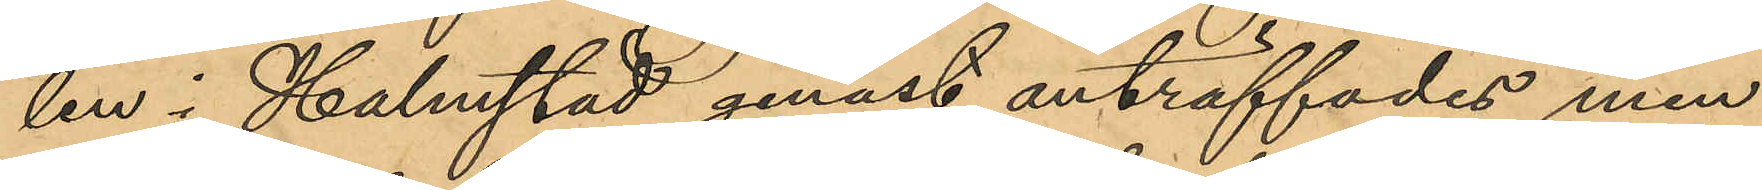len i Halmstad genast anträffades men
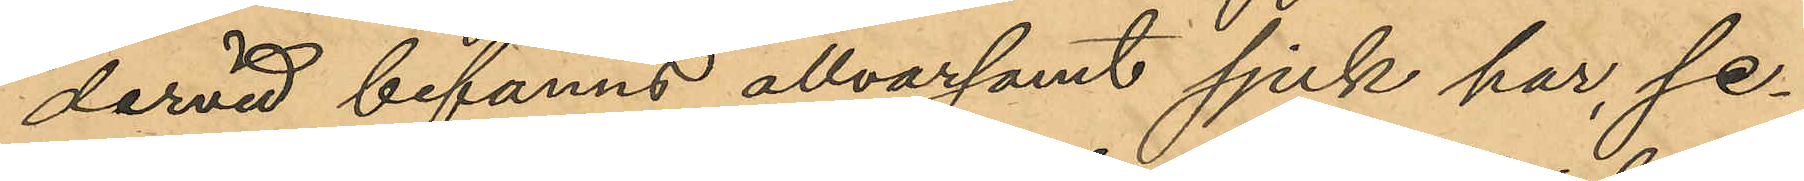dervid befanns allvarsamt sjuk har, se¬
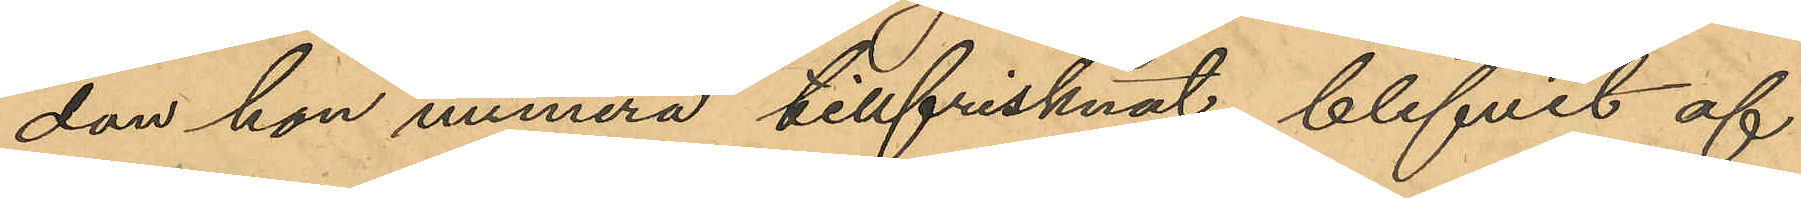dan hon numera tillfrisknat, blifvit af
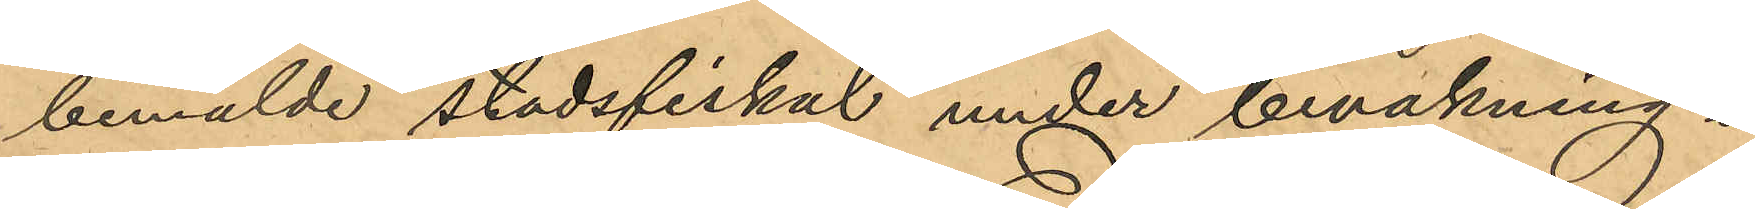bemälde stadsfiskal under bevakning i
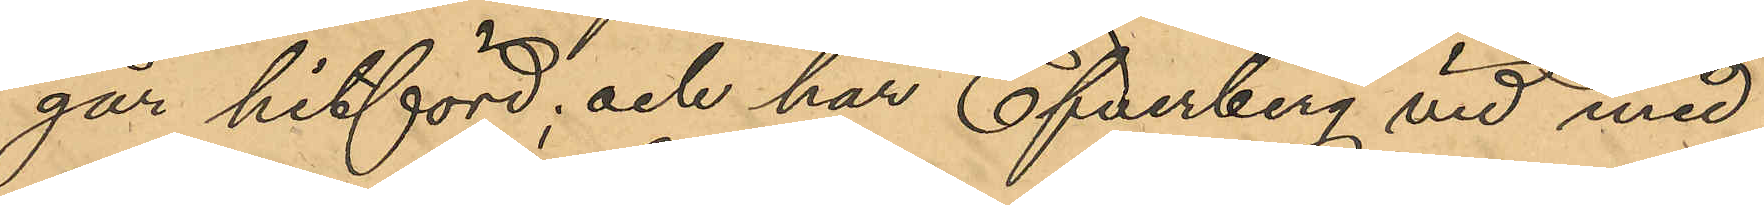går hitförd; och har Efverberg vid med
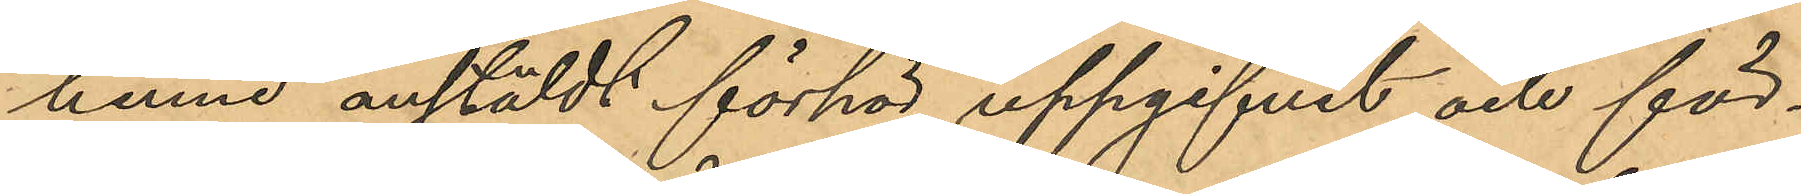henne anstäldt förhör uppgifvit och för¬
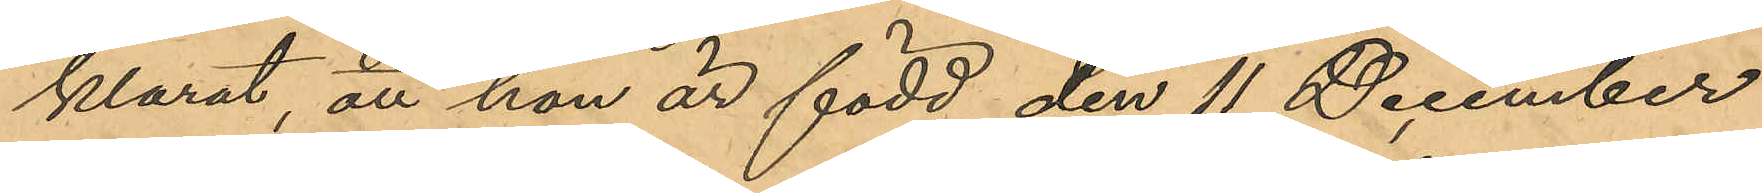klarat, att hon är född den 11 December
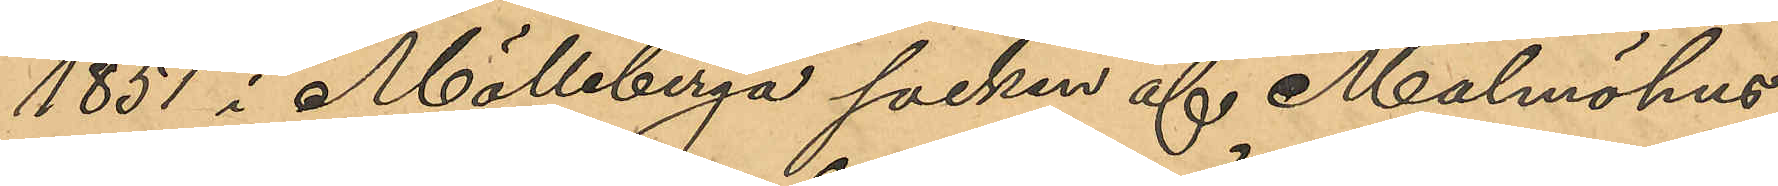1851 i Mölleberga socken af Malmöhus
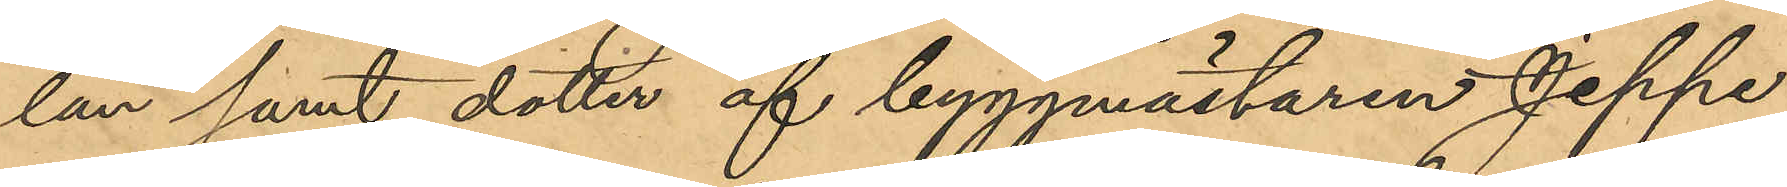län samt dotter af byggmästaren Jeppe
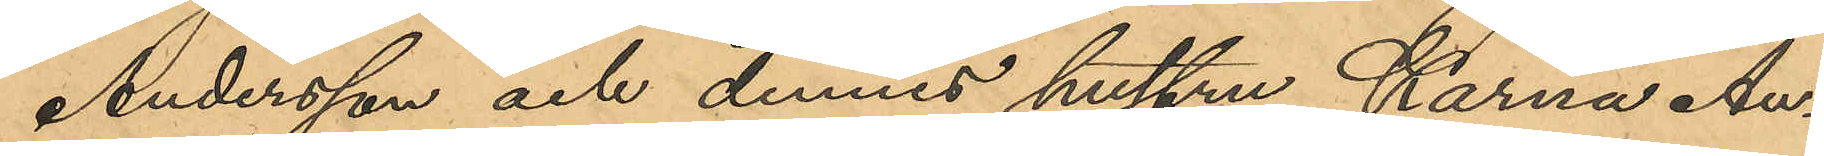Andersson och dennes hustru Karna An¬
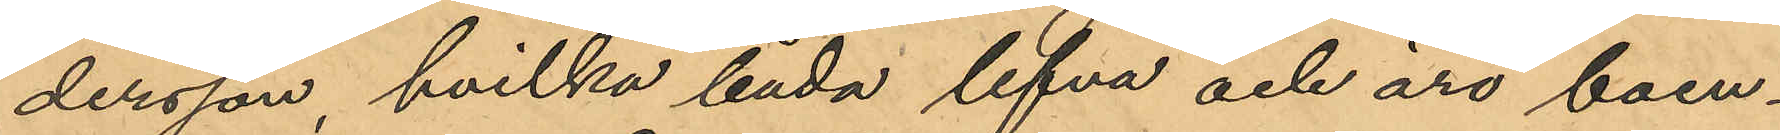dersson, hvilka båda lefva och äro boen¬
